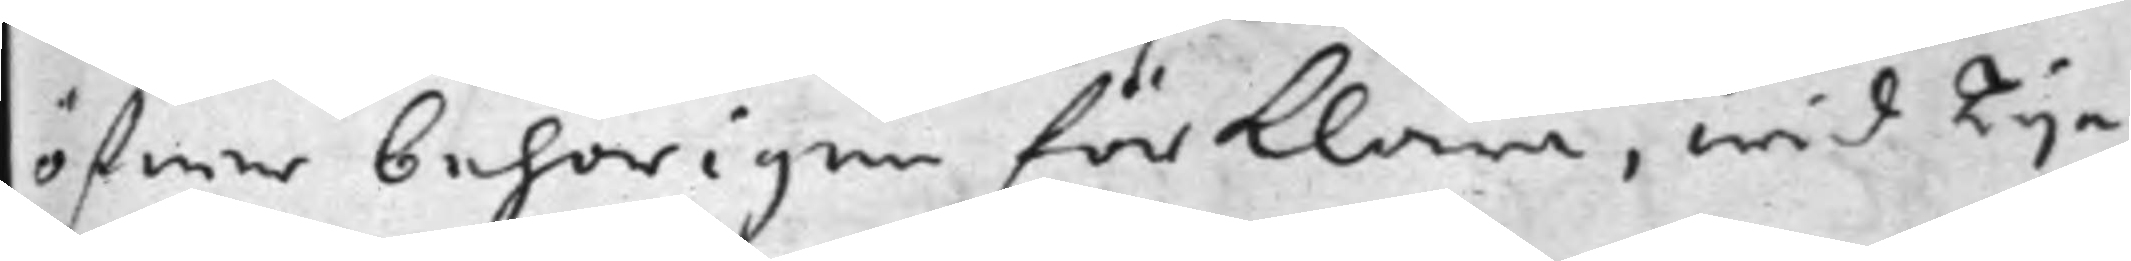öfwer behörigen förklara, wid Tije
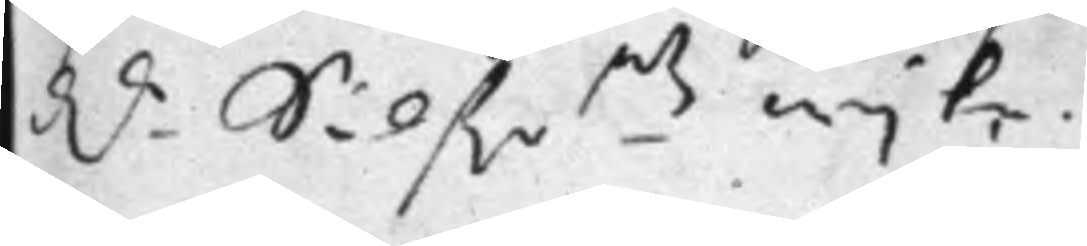D.r Silf.r.mtz wijte.
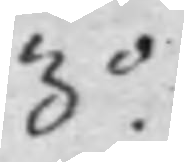3.o
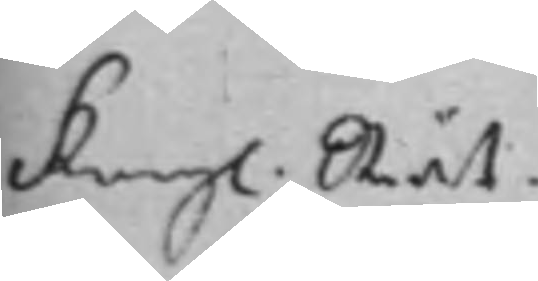Kongl. Rät¬
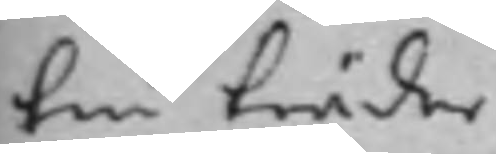ten träder
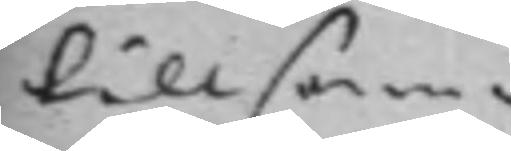tillsam¬
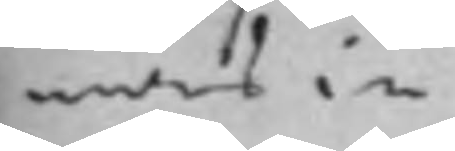mans in
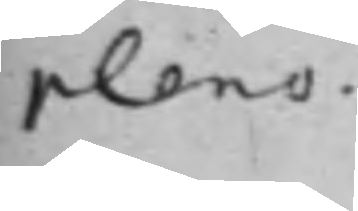pleno.
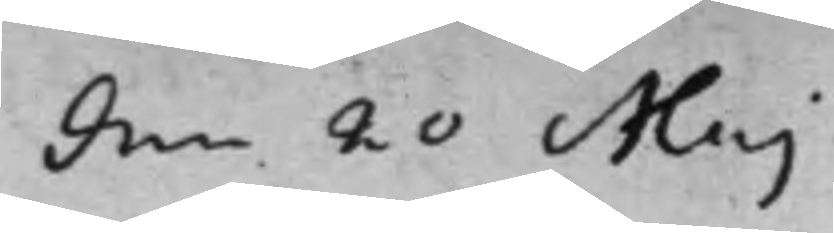den 20 Maj
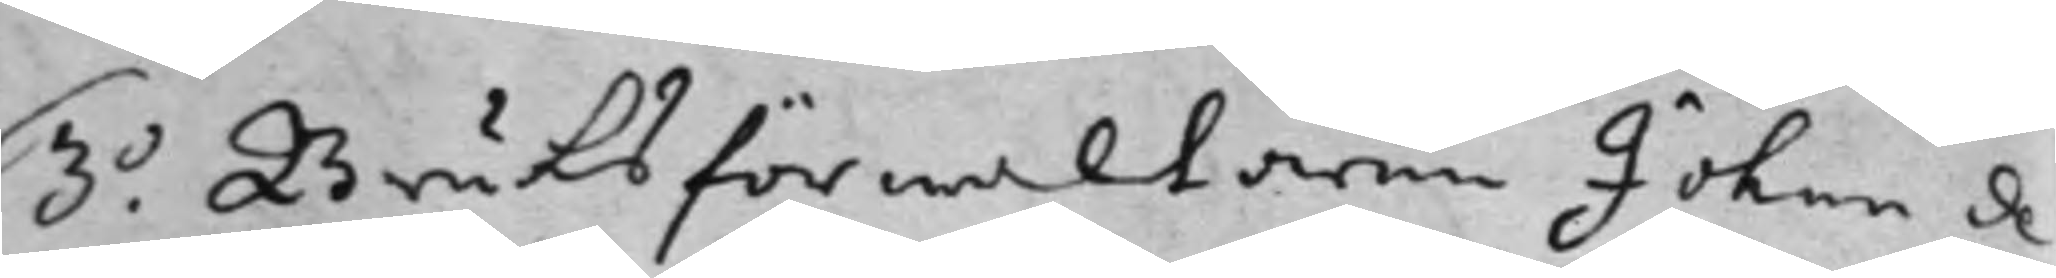3.o Bruksförwaltaren Johan de
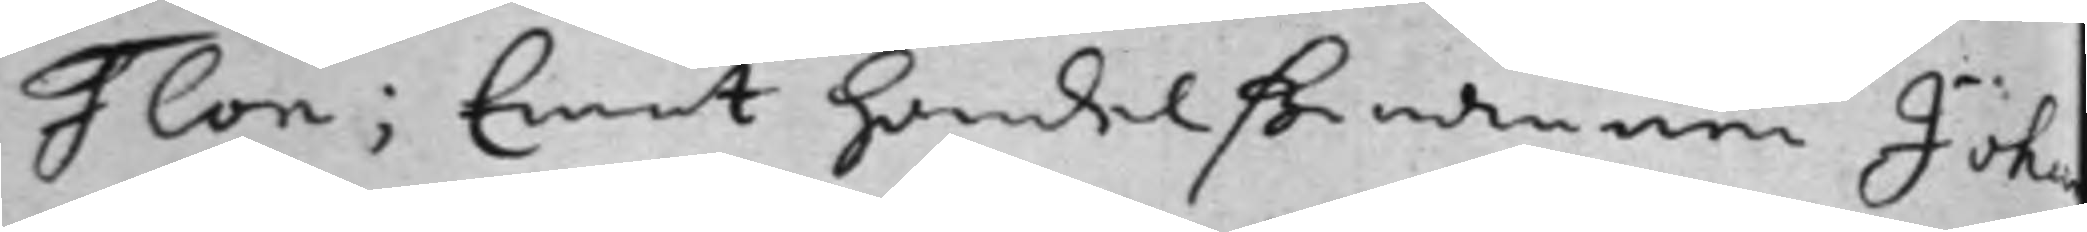Flon; Emot handelßmannen Johan
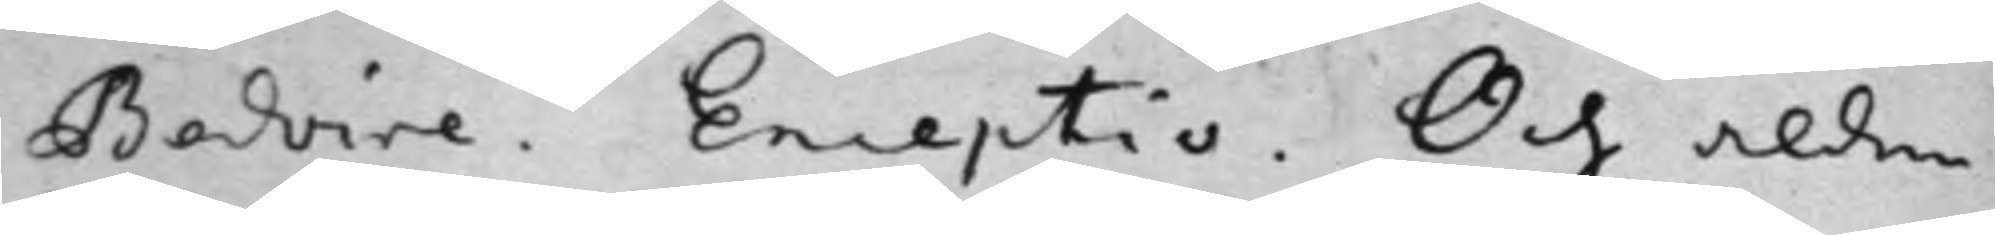Bedoire. Exceptio. Och alden¬
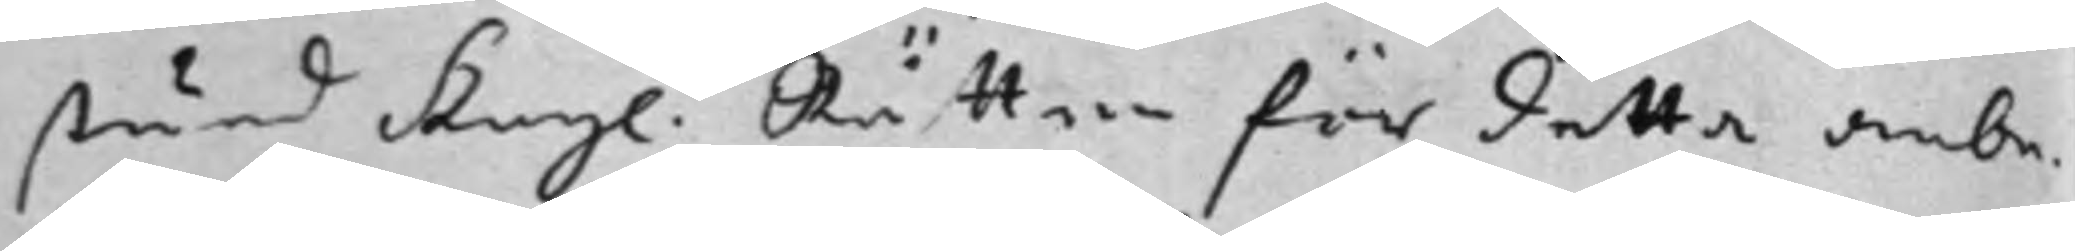stund Kongl. Rätten för detta anbe¬
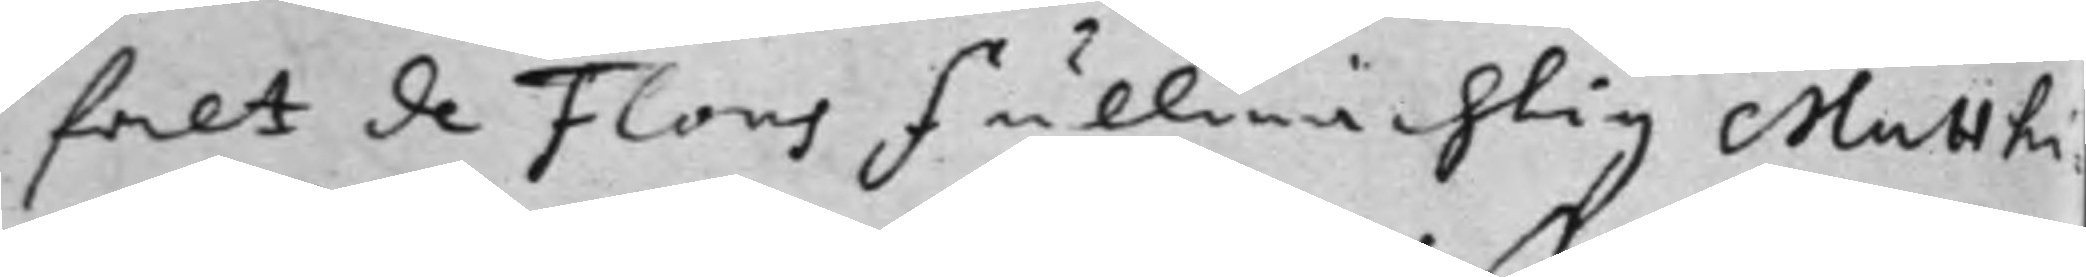falt de Flons fullmächtig Matthi¬
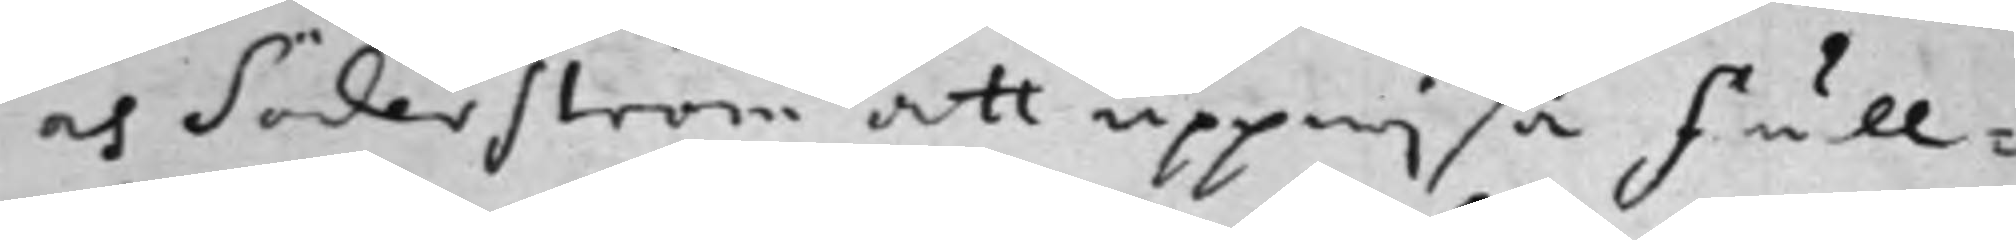as Söderström att uppwisa Full¬
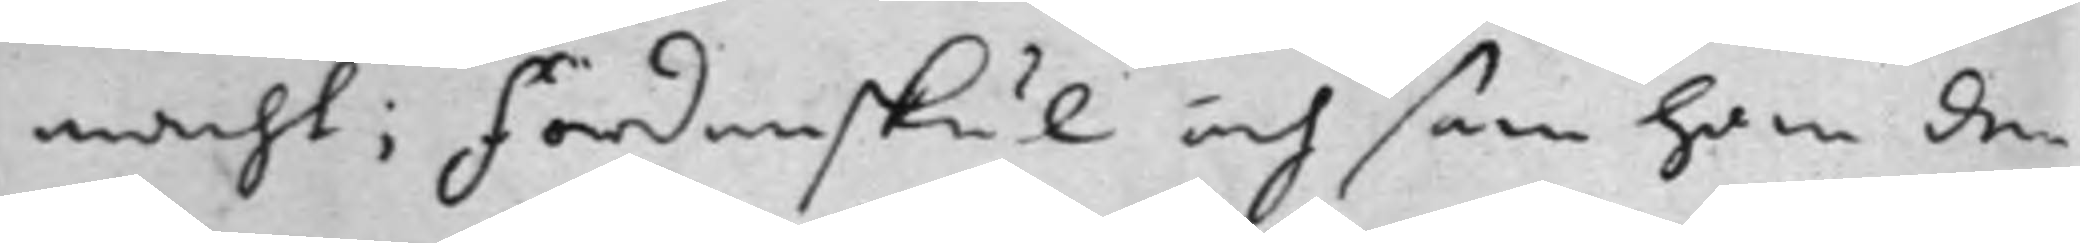macht; fördenskul och som han den¬
